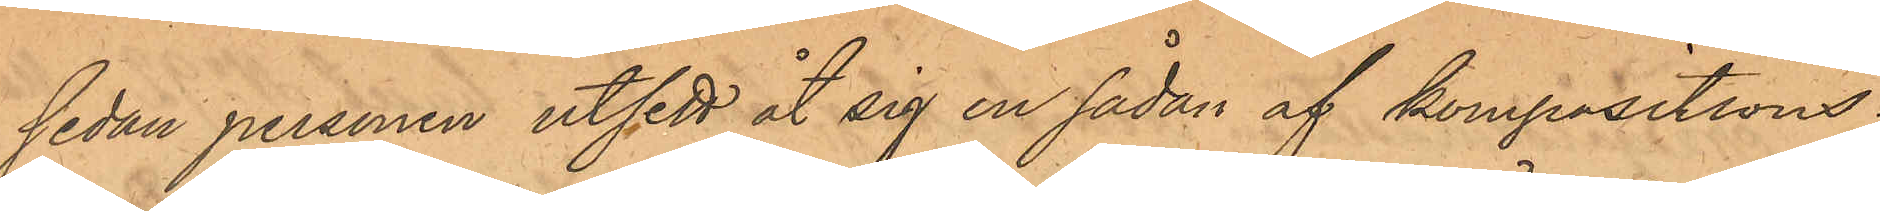sedan personen utsett åt sig en sådan af kompositions¬
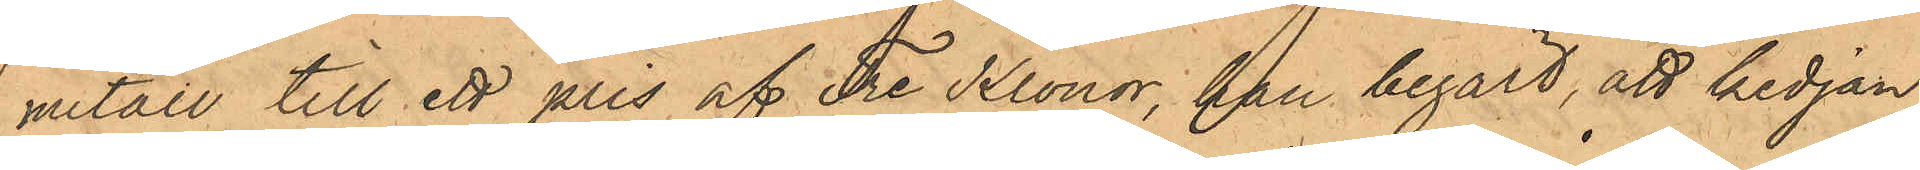metall till ett pris af Tre Kronor, han begärt, att kedjan
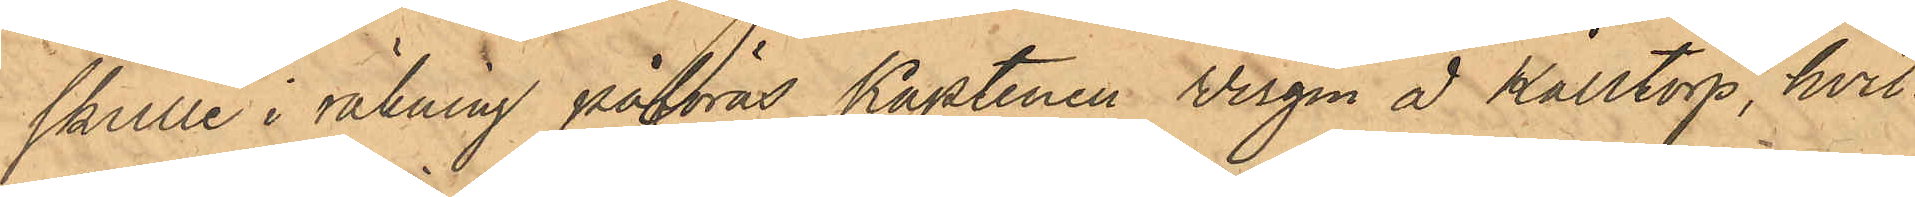skulle i räkning påföras Kaptenen Wirgin å Kålltorp, hvil¬
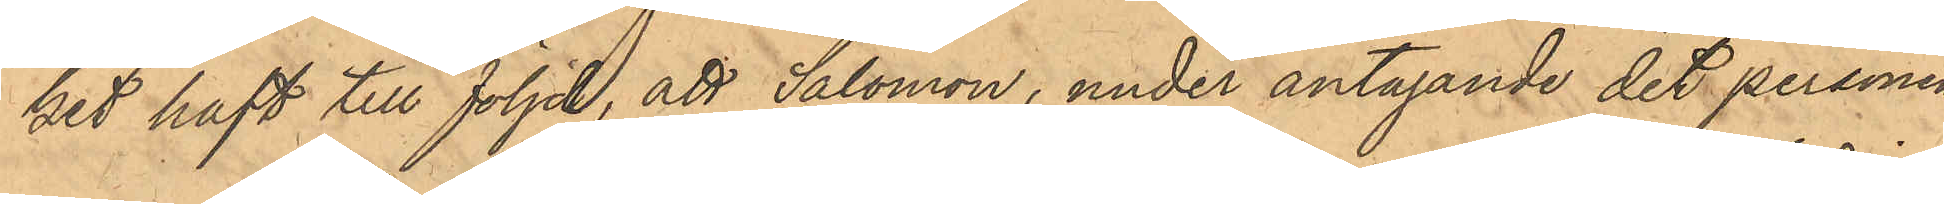ket haft till följd, att Salomon, under antagande det personen
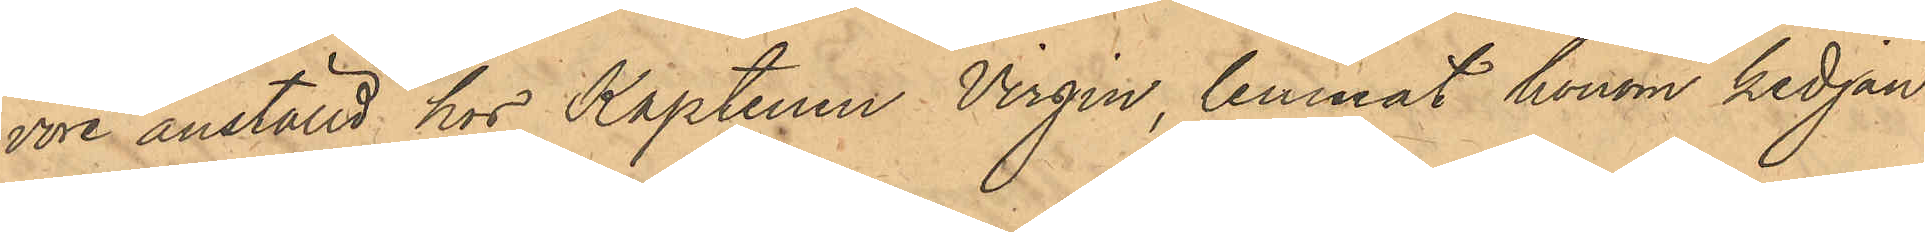vore anställd hos Kaptenen Virgin, lemnat honom kedjan
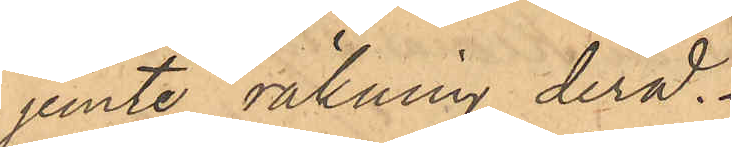jemte räkning derå.
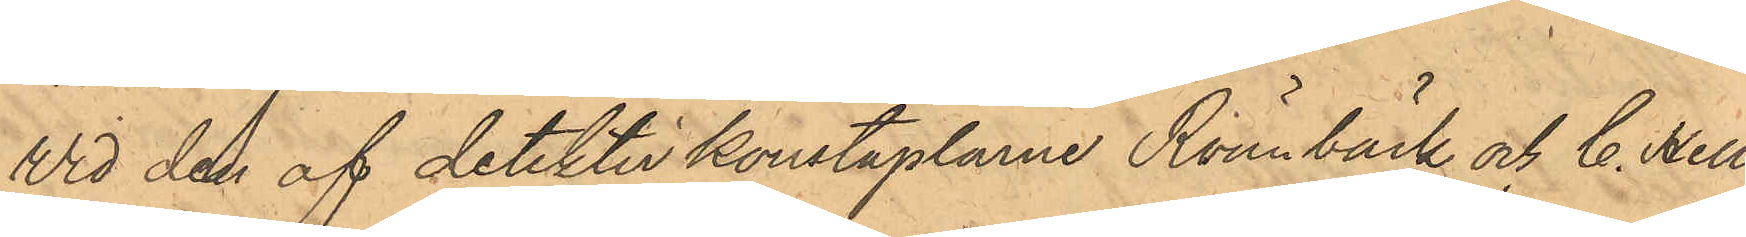Wid den af detektivkonstaplarne Rönnbäck och C. Hell¬
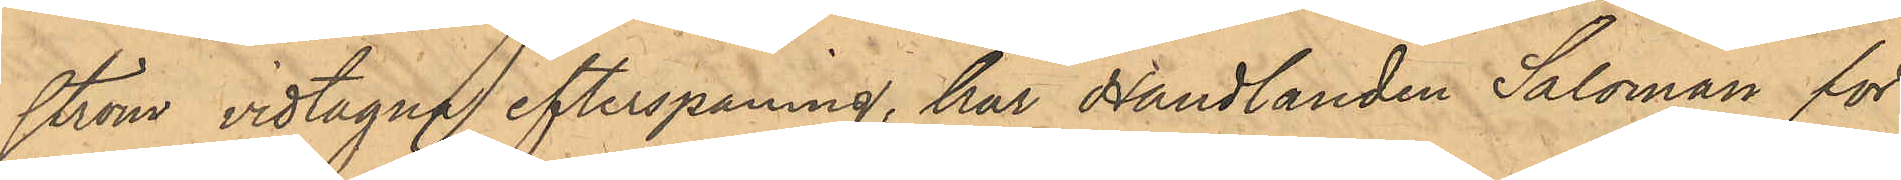ström vidtagna efterspaning, har Handlanden Saloman för
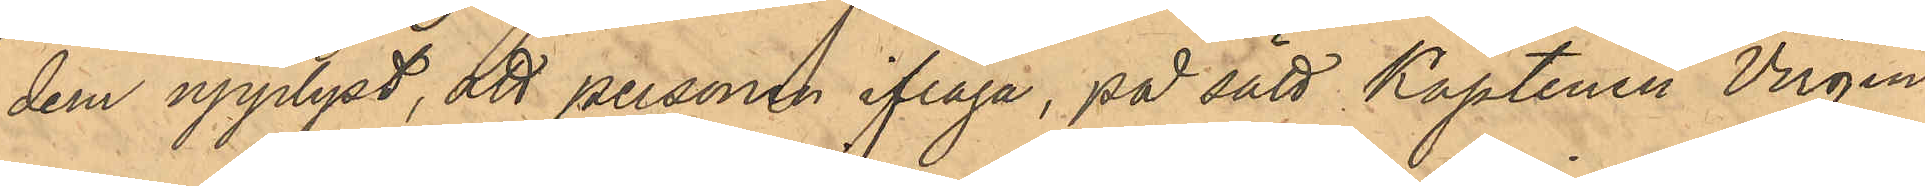dem upplyst, att personen ifråga, på sätt Kaptenen Virgin
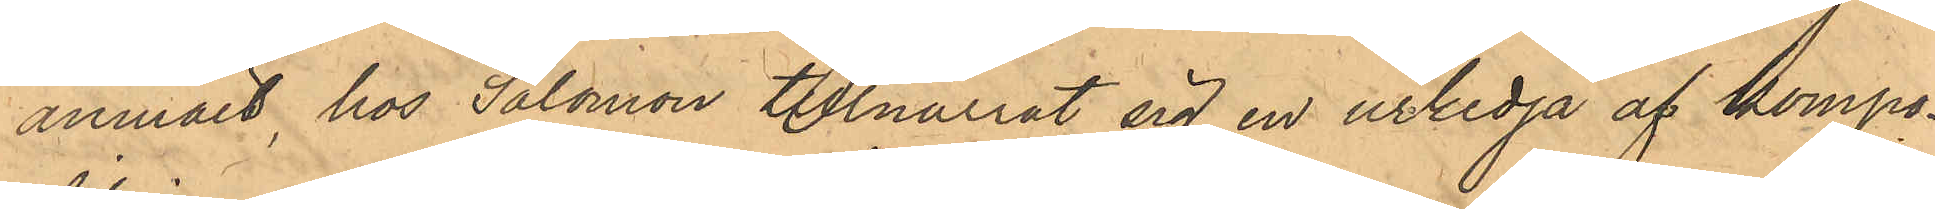anmält, hos Salomon tillnarrat sig en urkedja af kompo¬
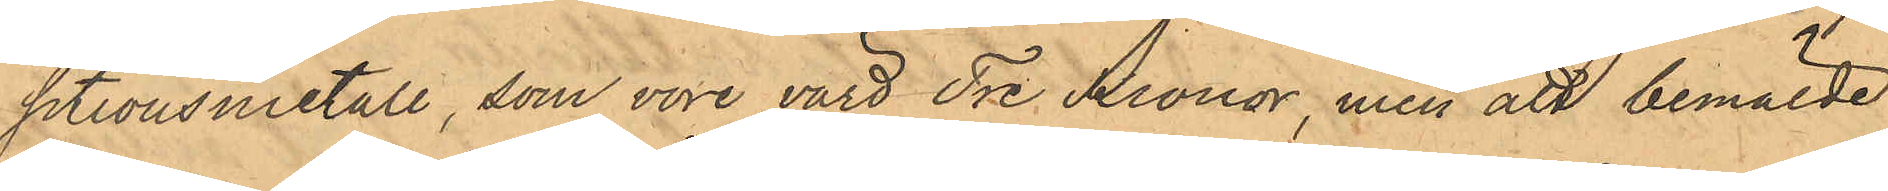sitionsmetall, som vore värd Tre Kronor, men att bemälde
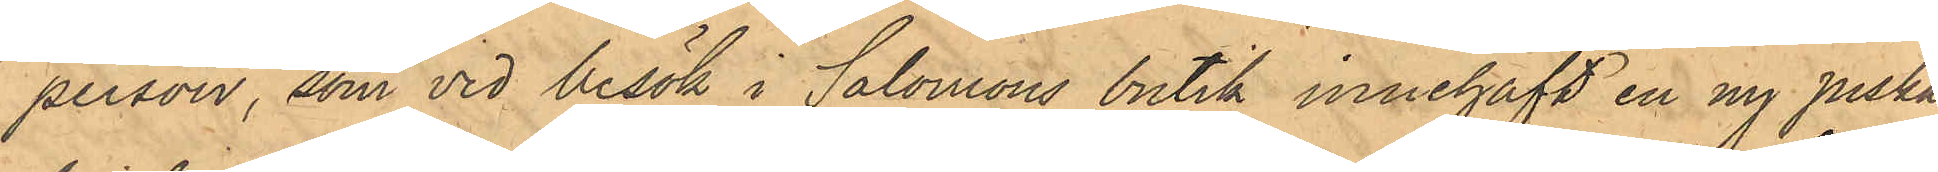person, som vid besök i Salomons butik innehaft en ny piska,
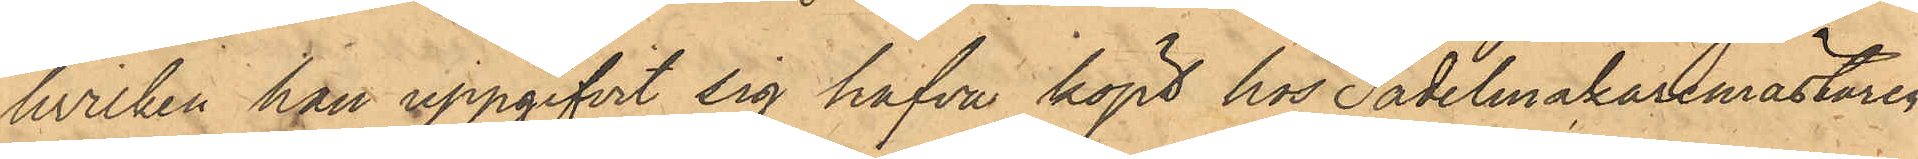hvilken han uppgifvit sig hafva köpt hos Sadelmakaremästaren
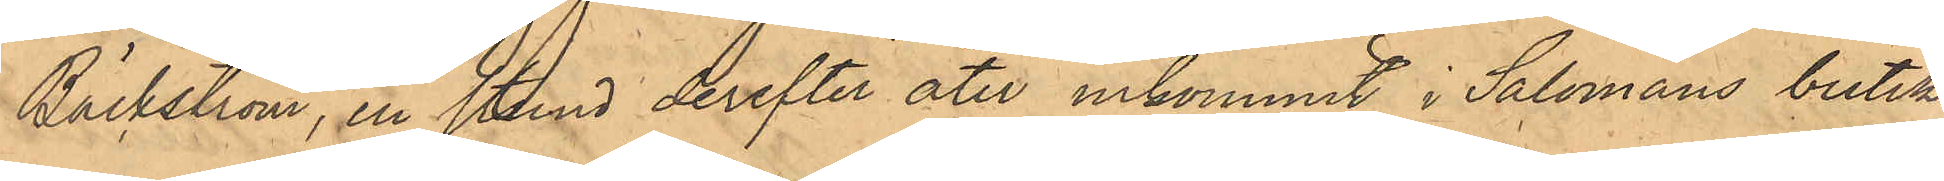Bäckström, en stund derefter åter inkommit i Salomans butik
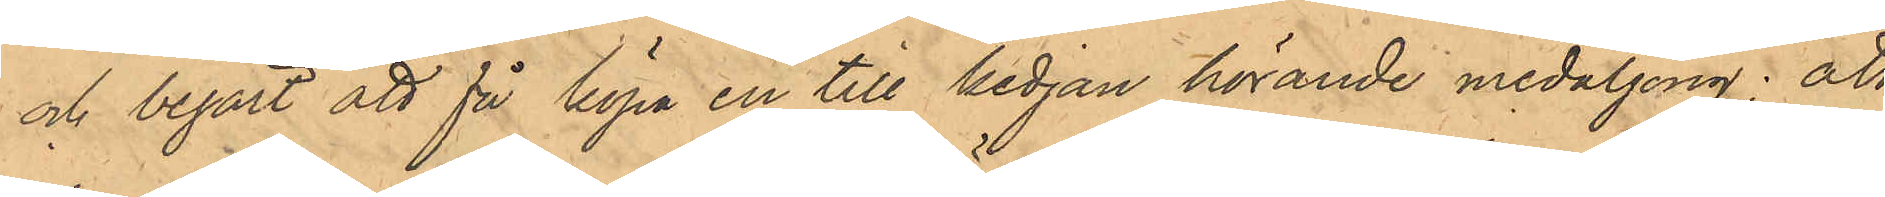och begärt att få köpa en till kedjan hörande medaljong; att
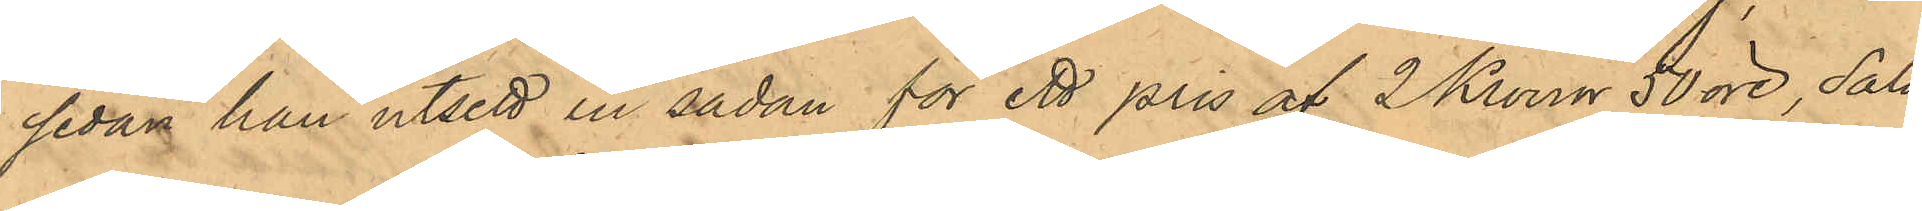sedan han utsett en sådan för ett pris af 2 Kronor 50 öre, Salo¬
